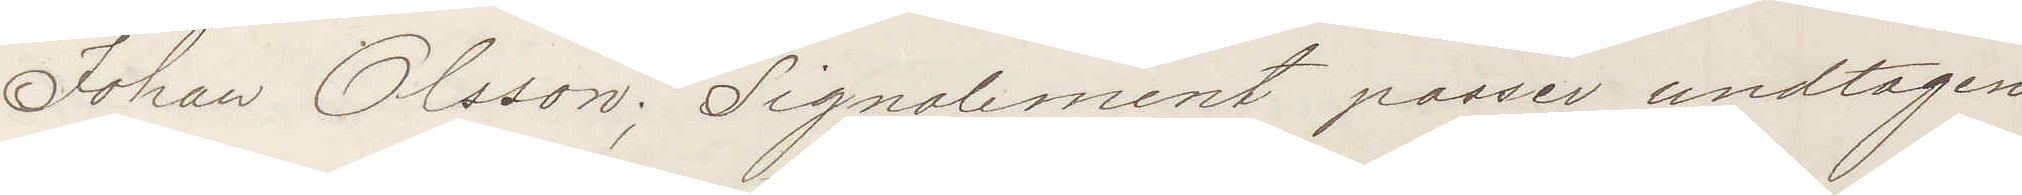Johan Olsson; Signalement passer undtagen
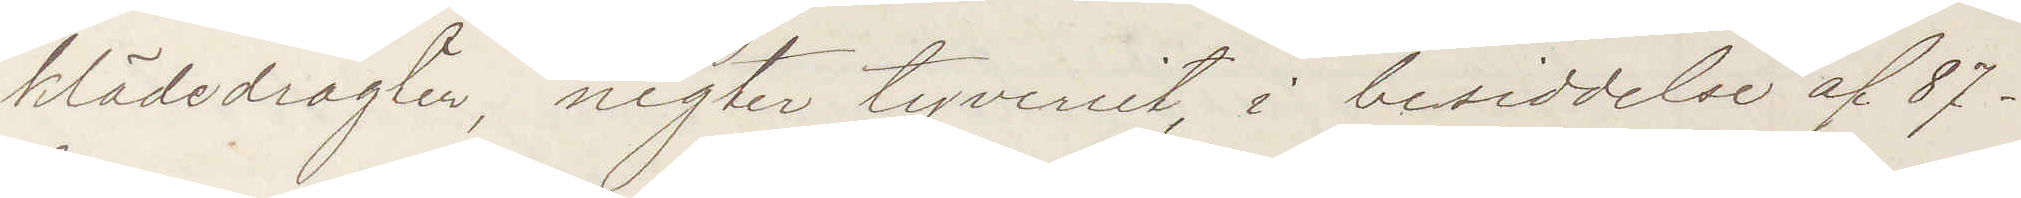klädedragter, negter tyverriet, i besiddelse af 87
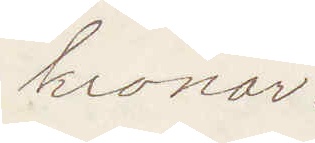kronor:
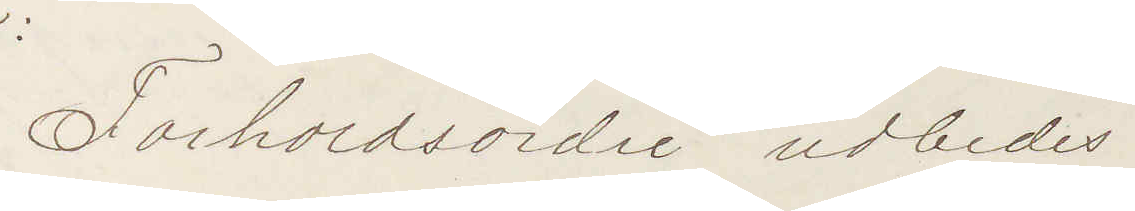Forholdsordre udbedes
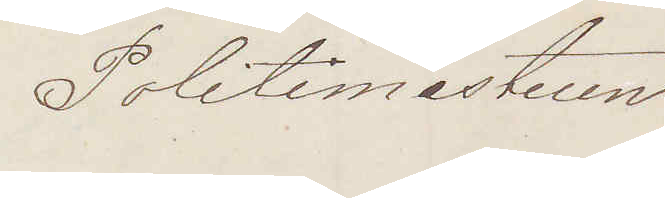Politimesteren
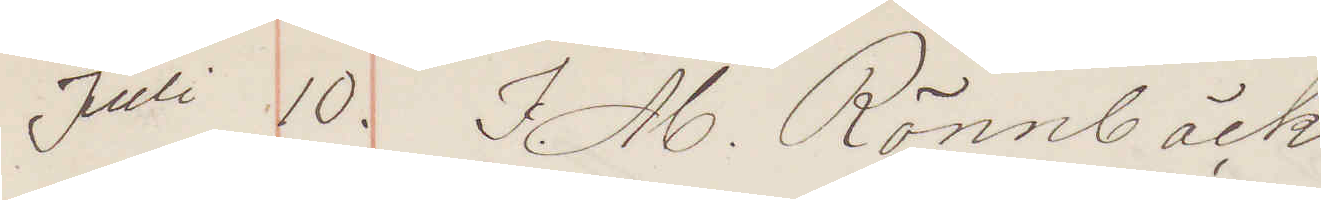Juli 10. I. M. Rönnbäck
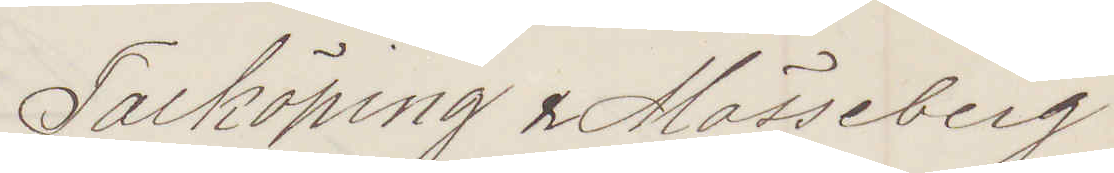Falköping & Mösseberg
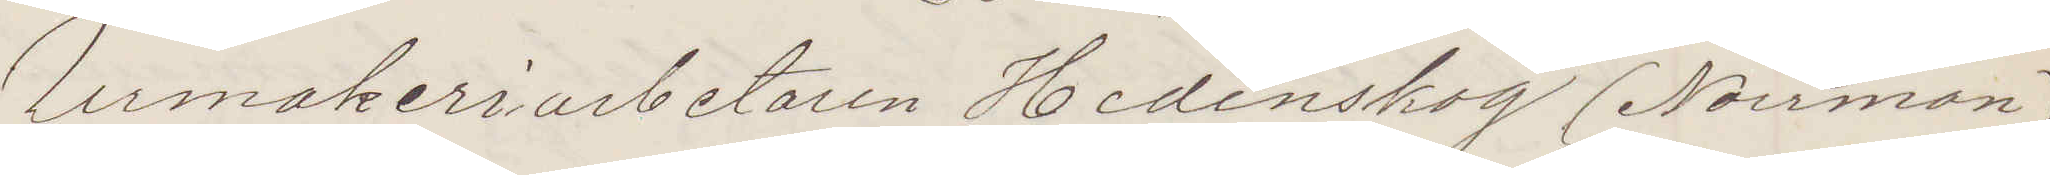Urmakeriarbetaren Hedenskog (Norrman)
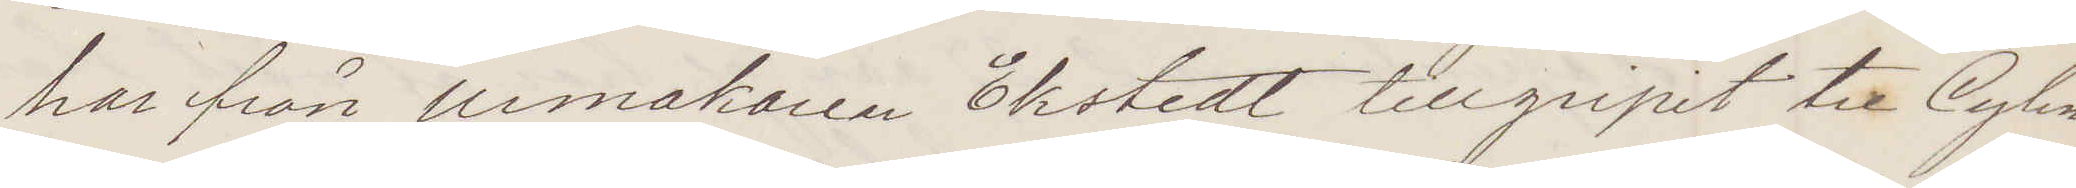har från urmakaren Ekstedt tillgripit tre Cylin¬
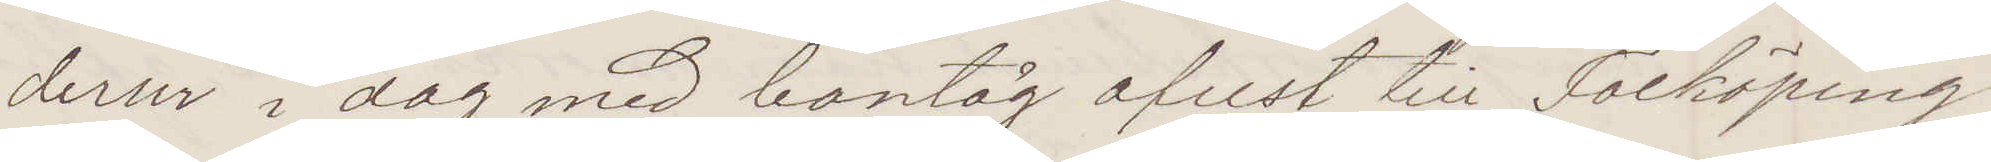derur i dag med bantåg afrest till Falköping
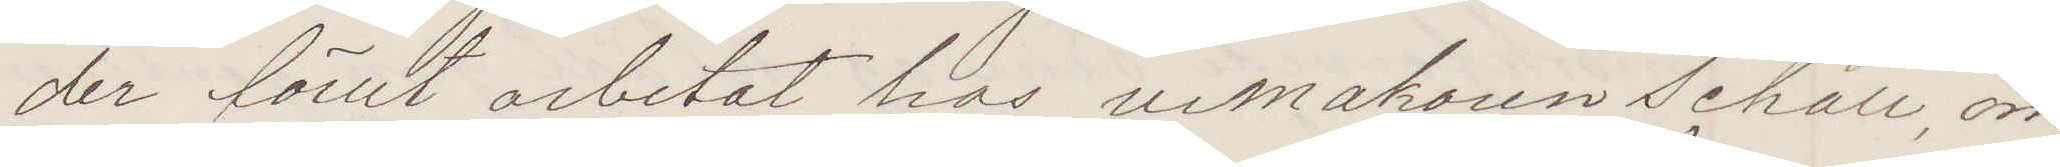der förut arbetat hos urmakaren Schall, om¬
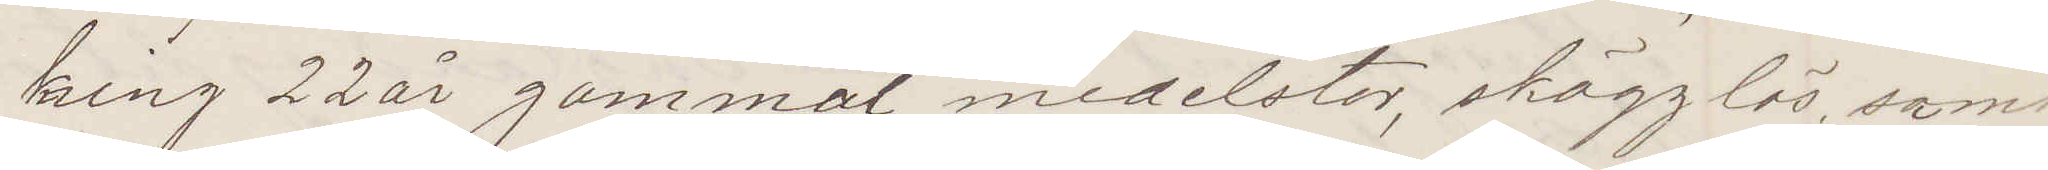kring 22 år gammal, medelstor, skägglös samt
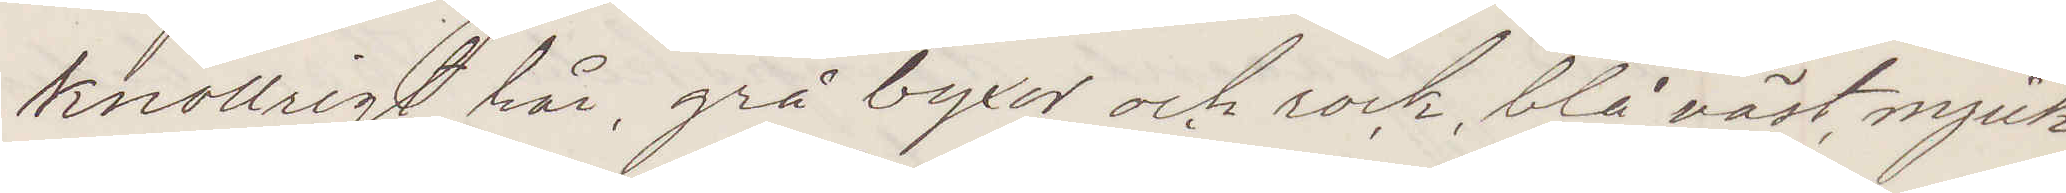knollrigt hår, grå byxor och rock, blå väst, mjuk
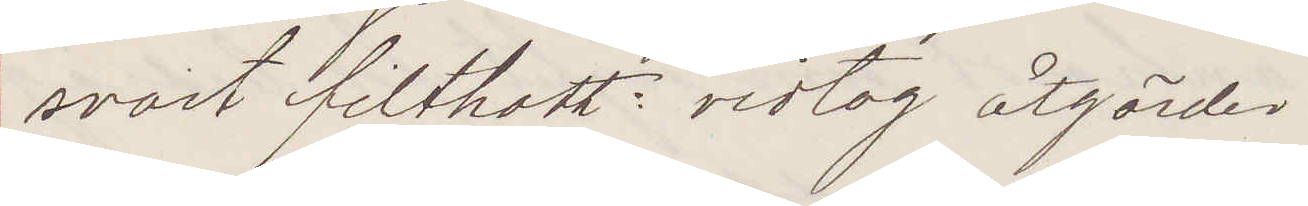svart filthatt: vidtag åtgärder:
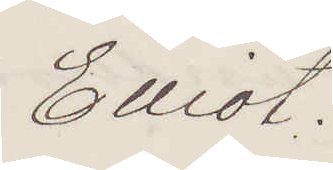Elliot.
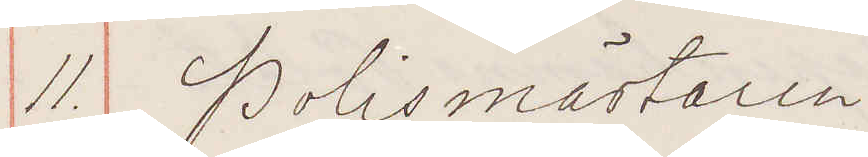11 Polismästaren
